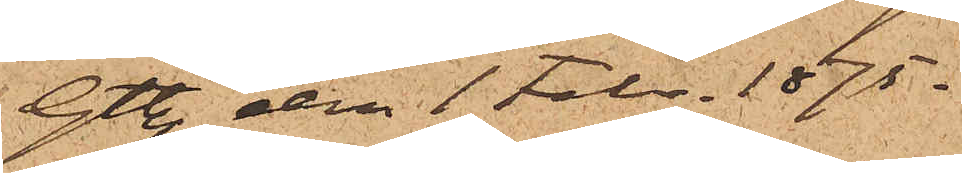Gtbg den 1 Febr. 1875.
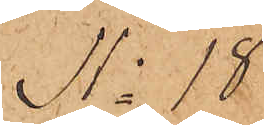No 18
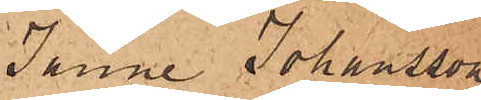Janne Johansson
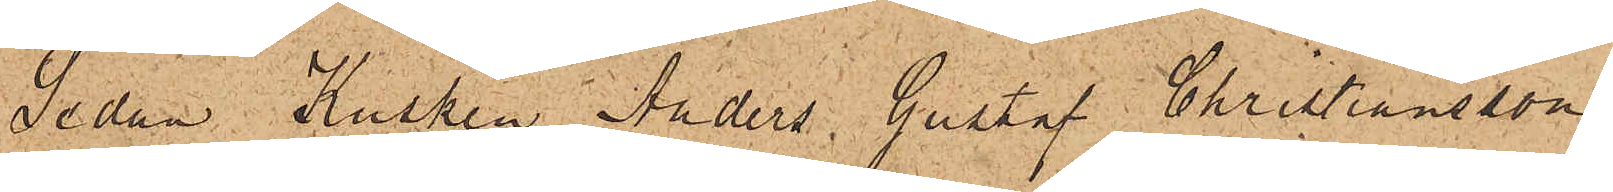Sedan Kusken Anders Gustaf Christiansson
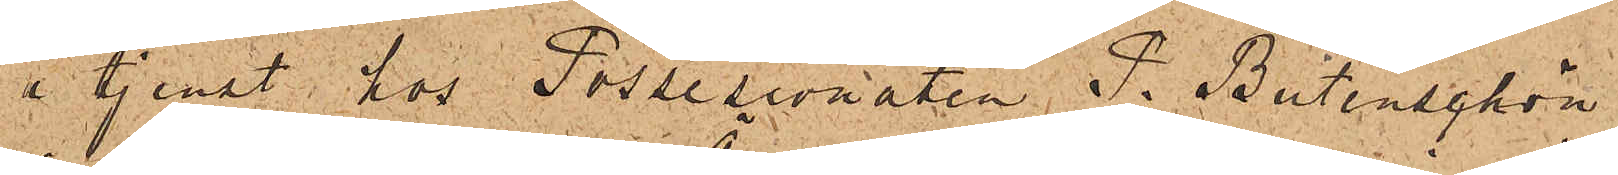i tjenst hos Possesionaten P. Butenschön
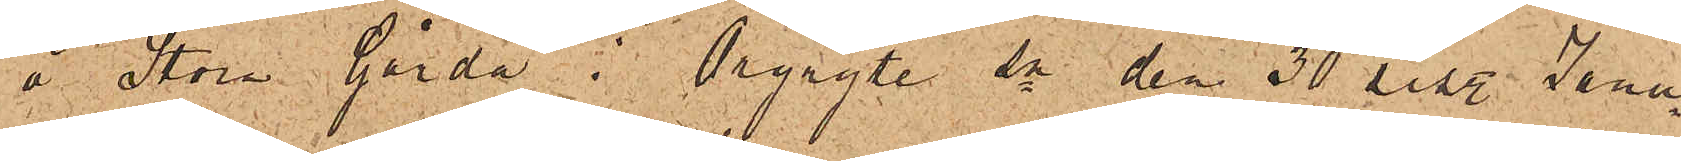å Stora Gårda i Örgryte sn den 30 sist. Janu¬
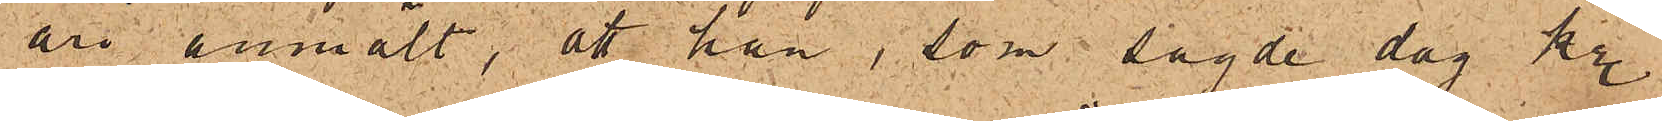ari anmält, att han, som sagde dag kl.
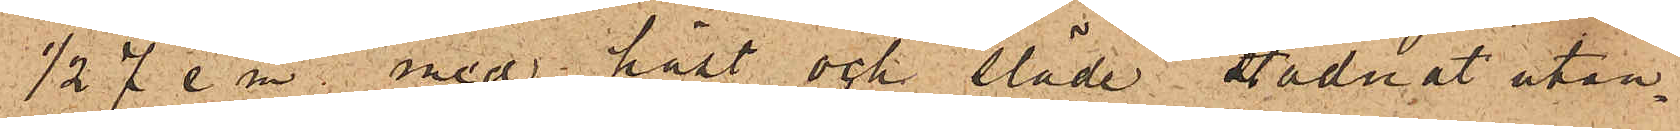1/2 7 e m. med häst och släde stadnat utan¬
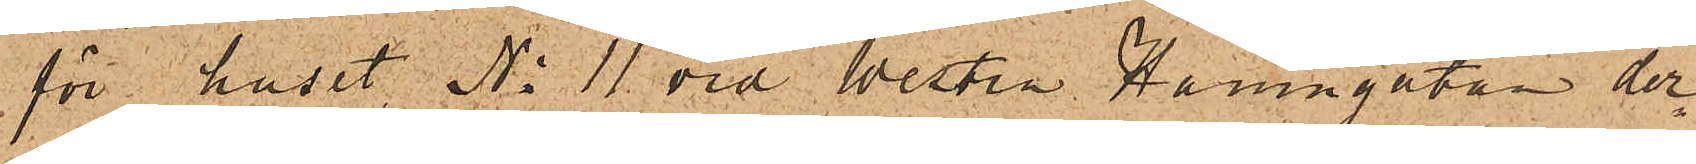för huset No 11 vid Westra Hamngatan der¬
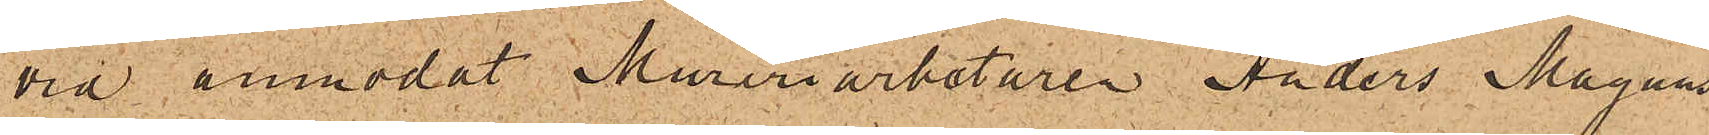vid anmodat Mureriarbetaren Anders Magnus
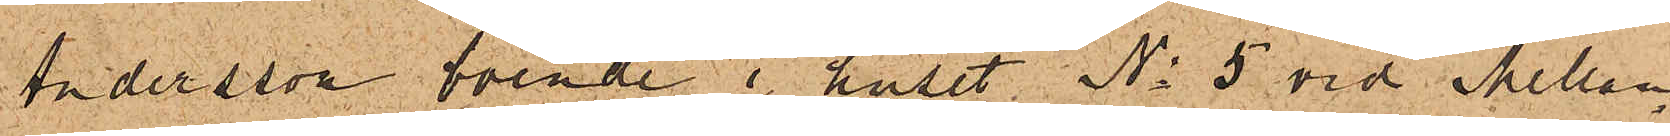Andersson boende i huset No 5 vid Mellan¬
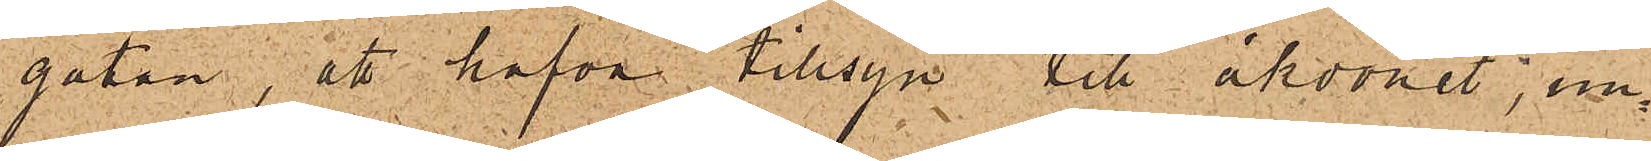gatan, att hafva tillsyn till åkdonet, un¬
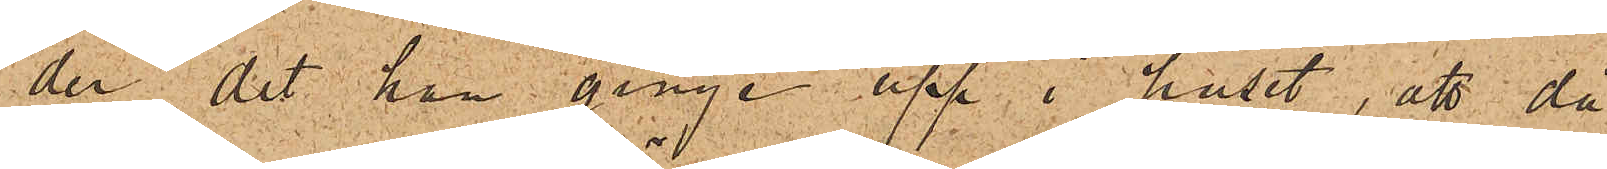der det han ginge upp i huset, att då
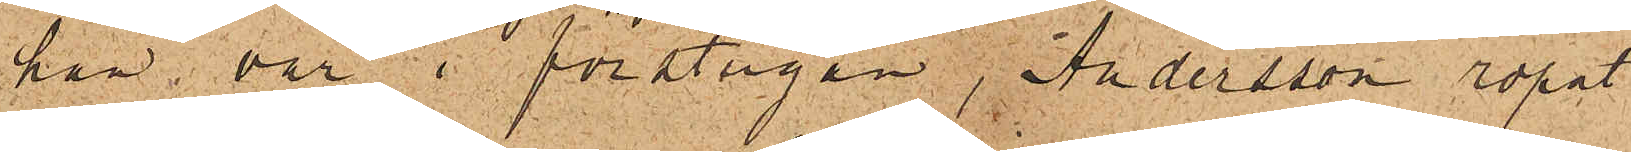han var i förstugan, Andersson ropat
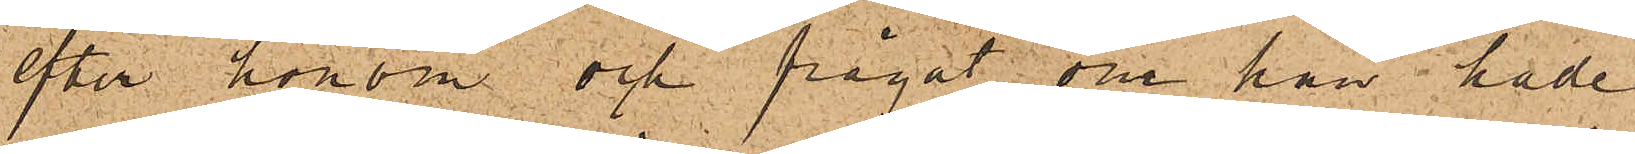efter honom och frågat om han hade
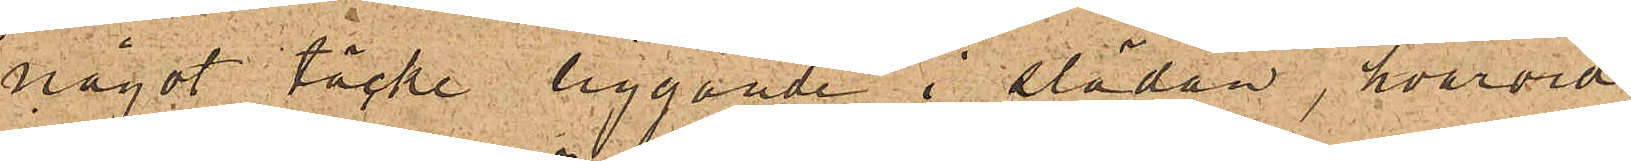något täcke liggande i släden, hvarvid
